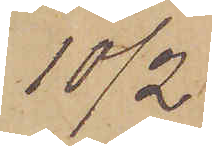10/2.
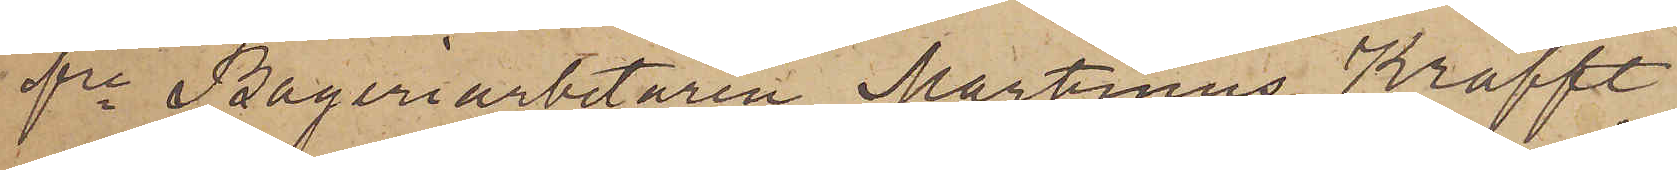fre Bageriarbetaren Martinus Krafft
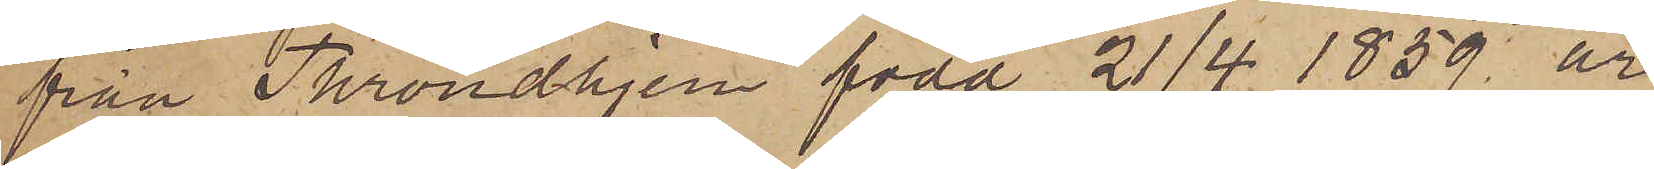från Throndhjem, född 21/4 1859 är
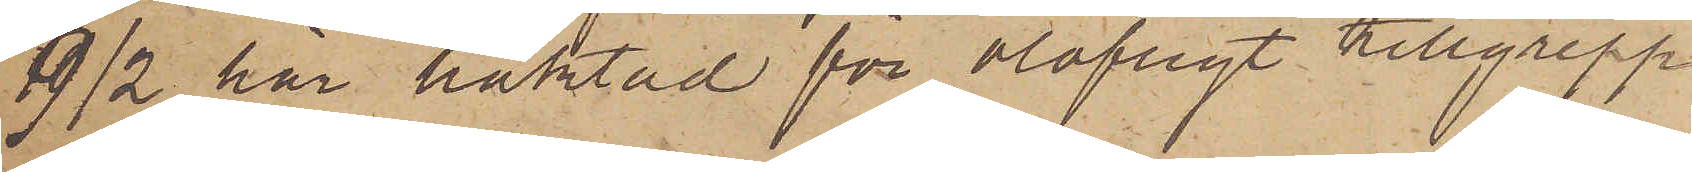9/2 här häktad för olofligt tillgrepp
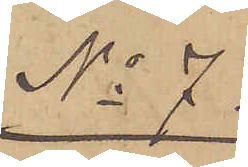No 7.
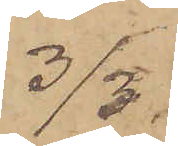3/3.
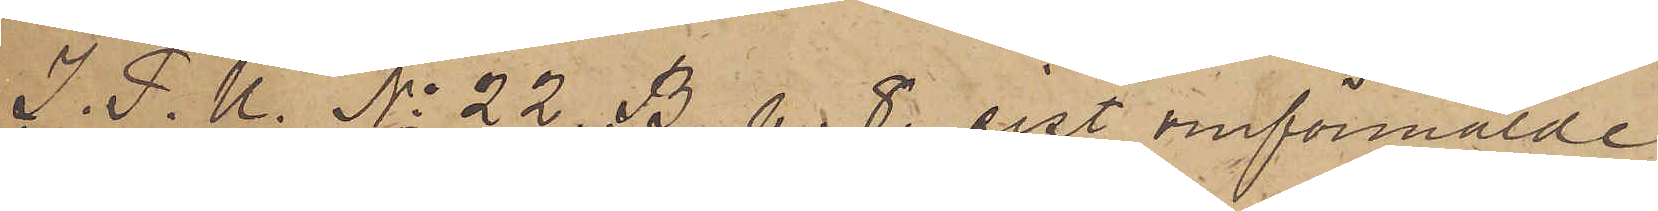I. P. U. No 22 B. p. 8. sist omförmälde
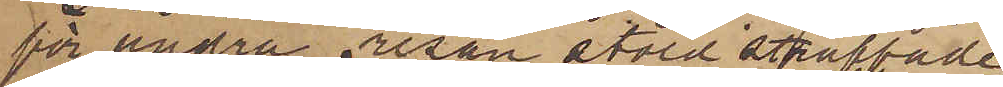för andra resan stöld straffade
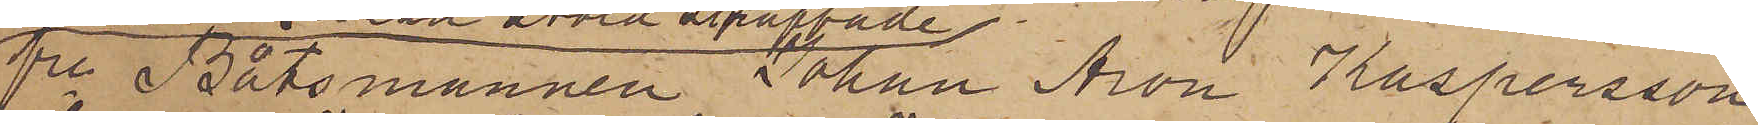fre Båtsmannen Johan Aron Kaspersson
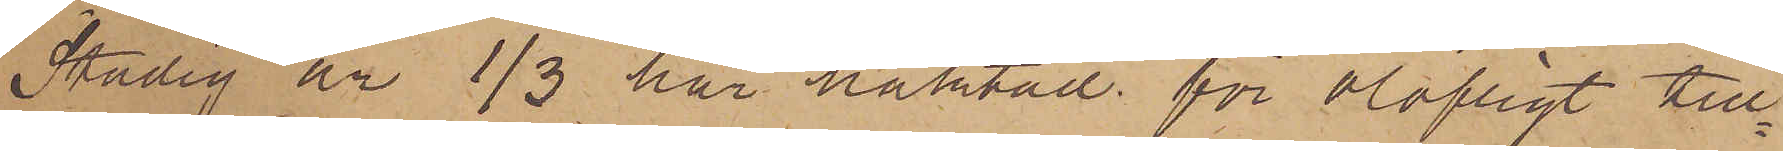Stadig är 1/3 här häktad för olofligt till¬
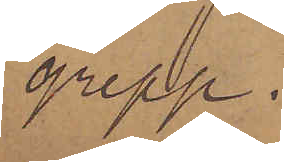grepp.
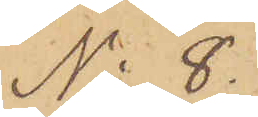No 8.
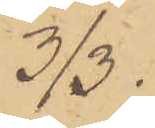3/3.
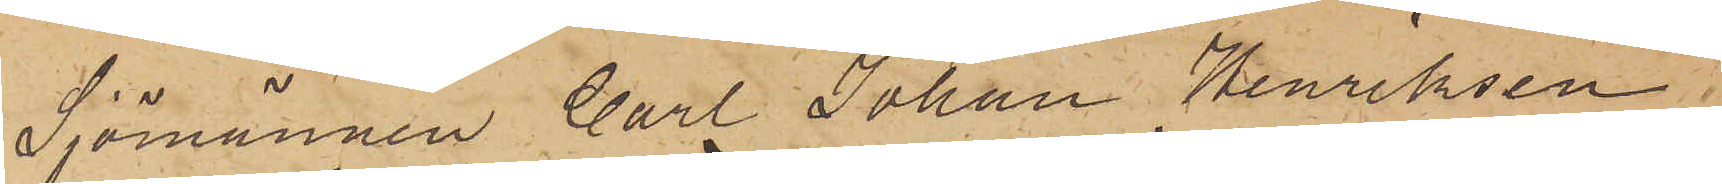Sjömannen Carl Johan Henriksen
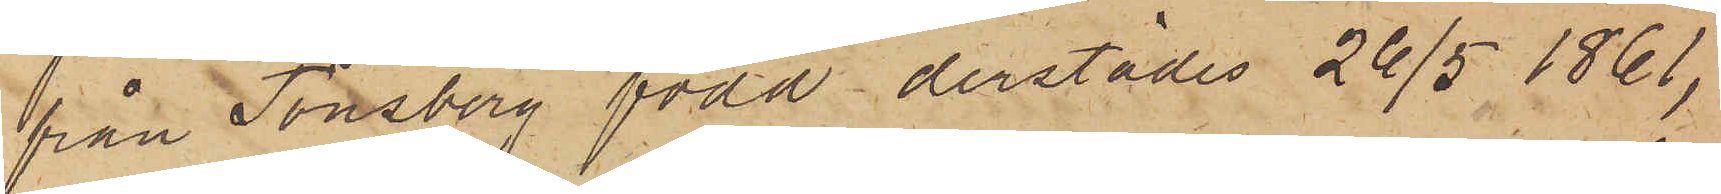från Tönsberg född derstädes 26/5 1861,
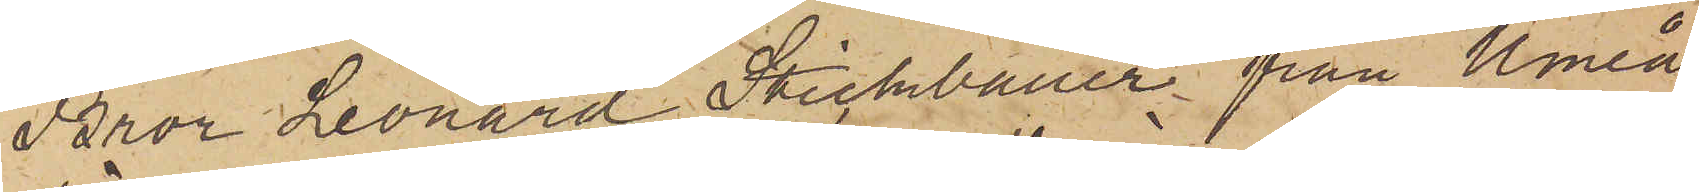Bror Leonard Stickbauer från Umeå
